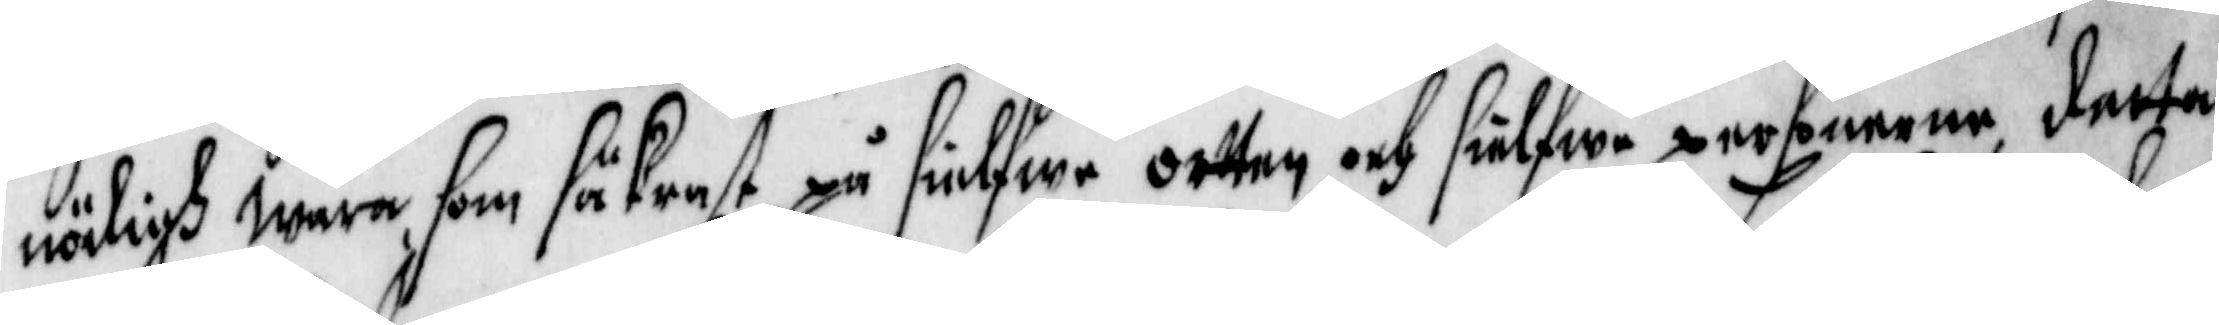nödigh wara som säkrast på sielfwe ortten och sielfwe personerne, detta
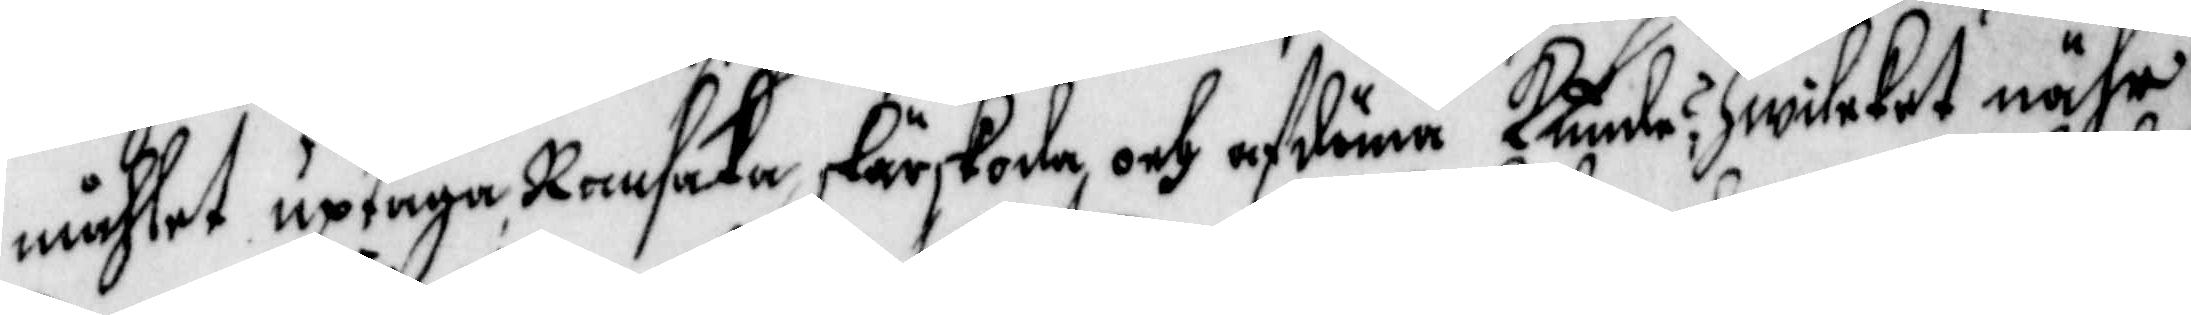måhlet uptaga, Ransaka, skärskoda, och afdöma Kunde?, Hwilcket nähr
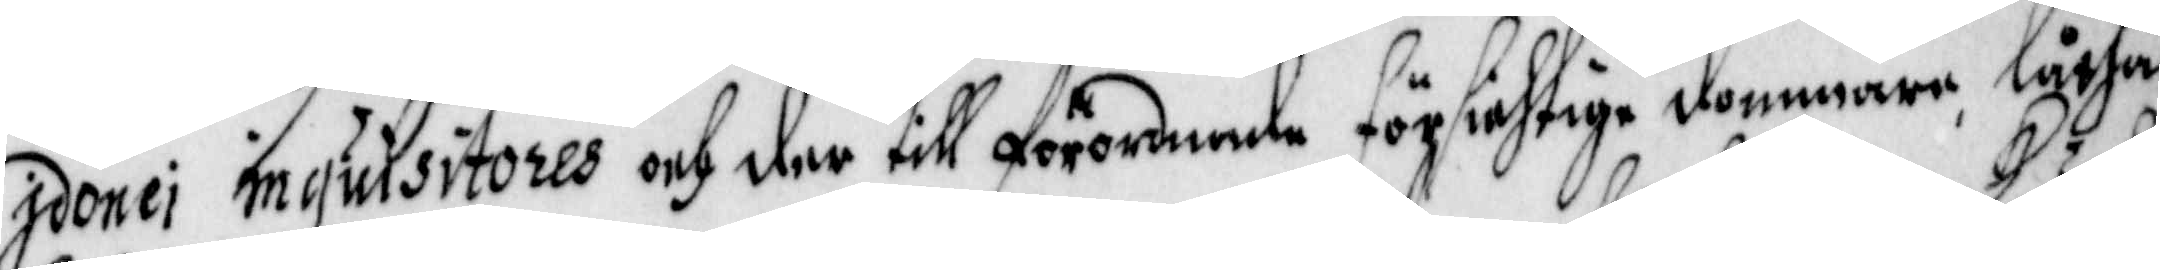jdonei inquisitores och der till förordnade försichtige dommare, låtha
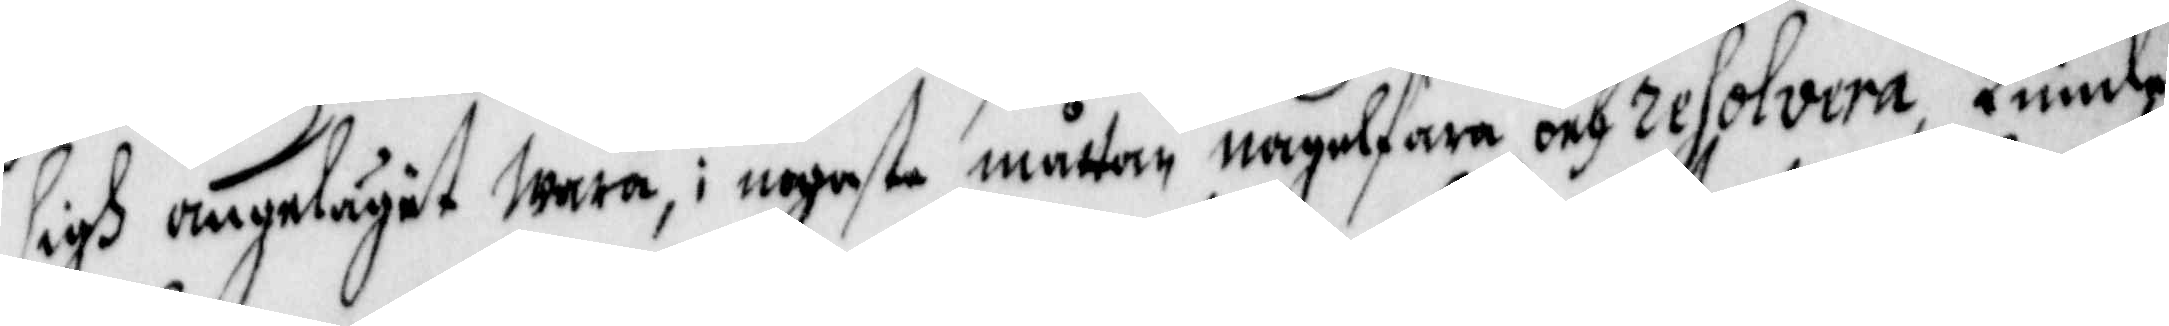sigh angelägit wara, i nogaste måttan nagelfara och resolvera, Kunde
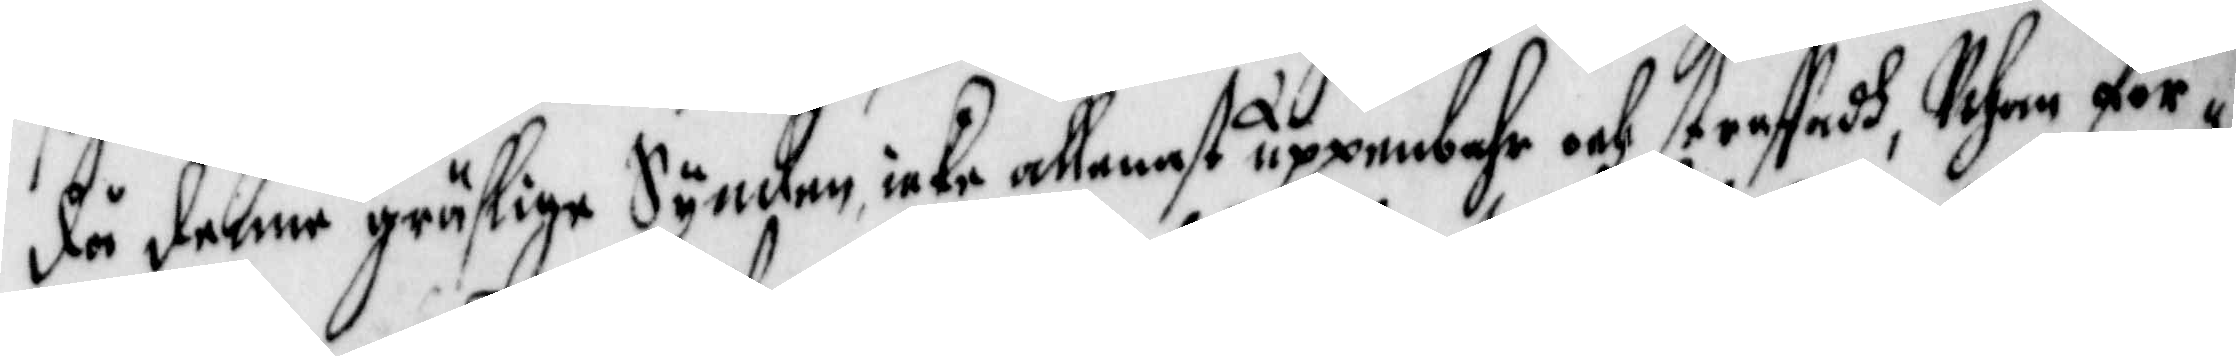då denne gräslige Synden icke allenast uppenbahr och straffadh, Utan för¬
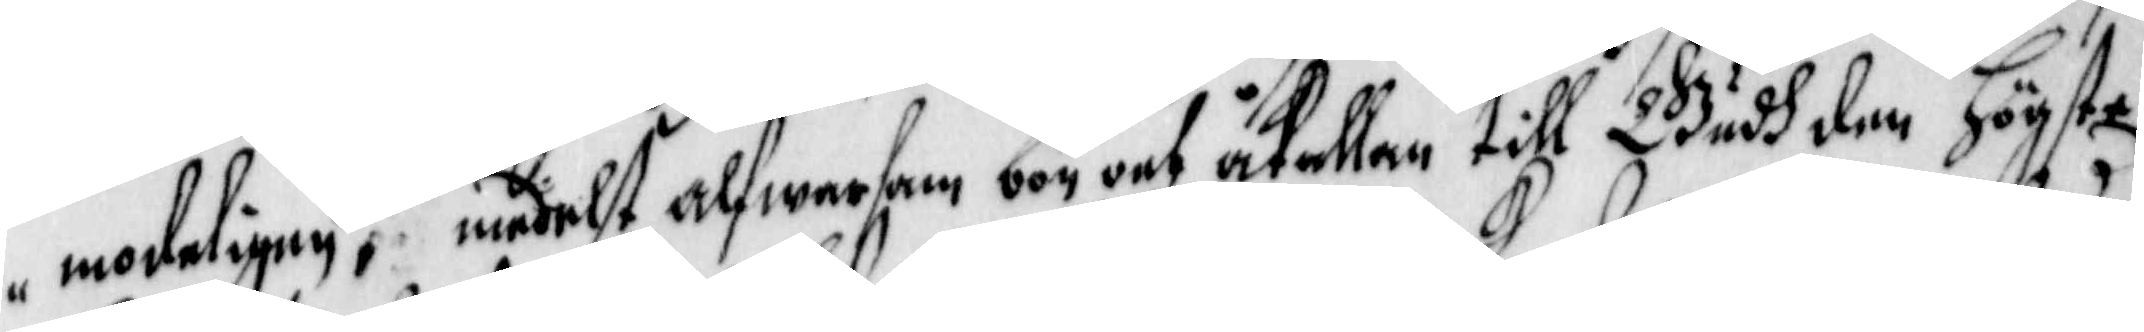modeligen, medelst alfwarsam bön och åkallan till Gudh den Högste
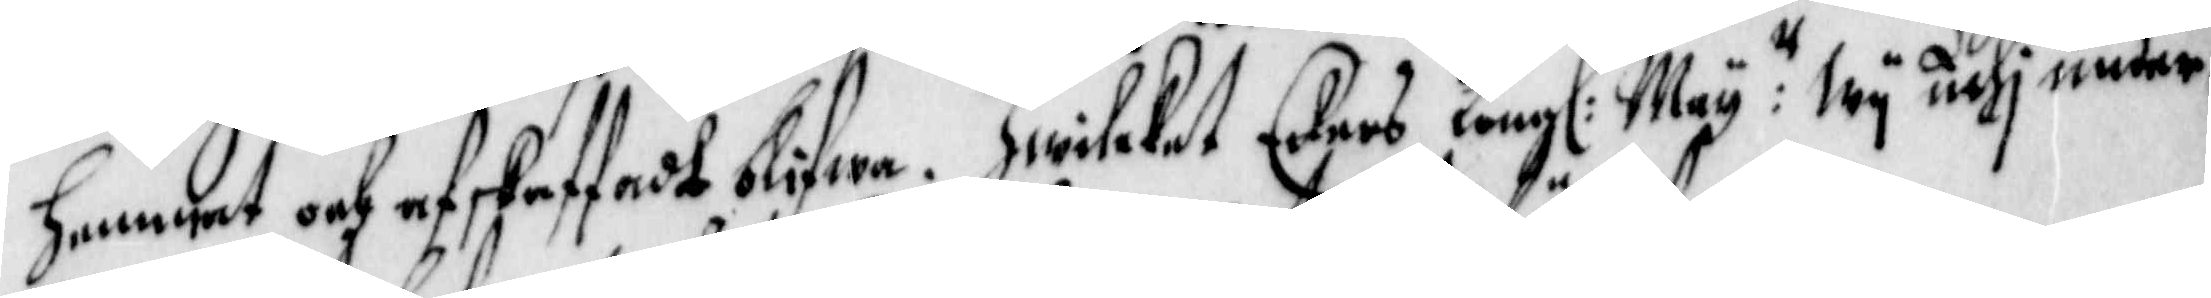hamnat och afskaffadt blifwa. Hwilcket Eders Kong.: May:tt Wij uthi under¬
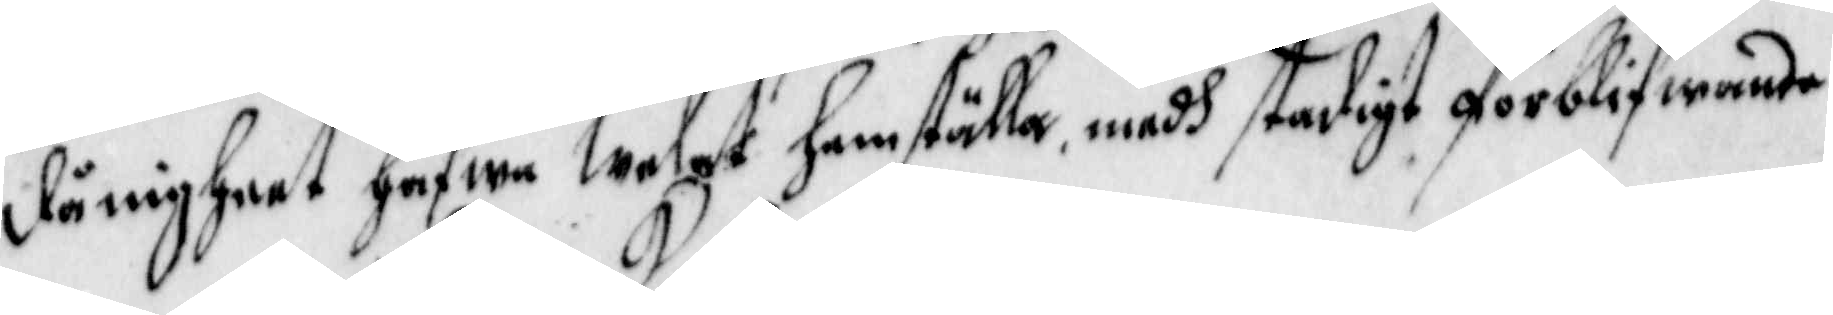dånigheet hafwa Welat hemställa, medh stadigt förblifwande
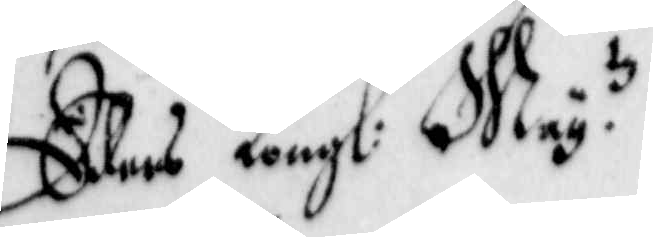Eders Kongl: May.tz
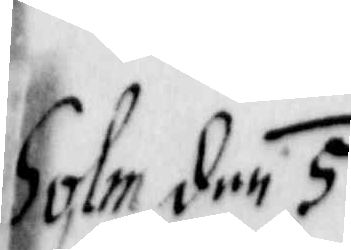holm den 5.
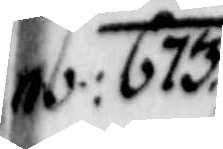 b: 1673.
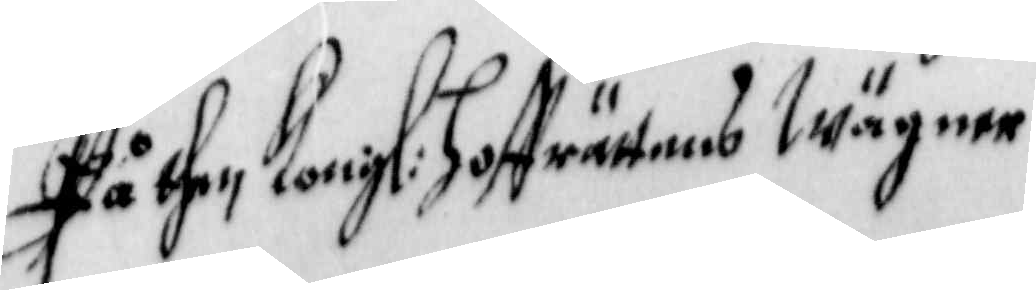På then Kongl: Hoffrättens Wägner
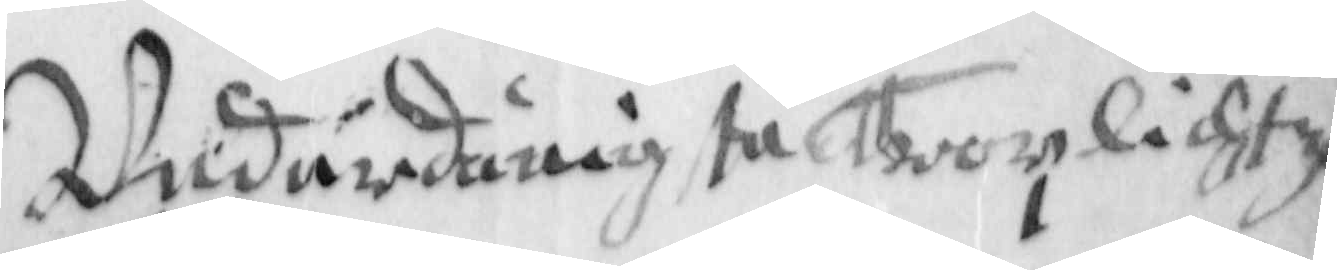Underdånigste Trorlichtze
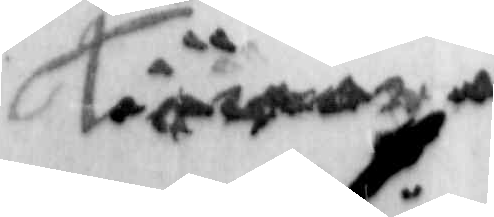Tiänare
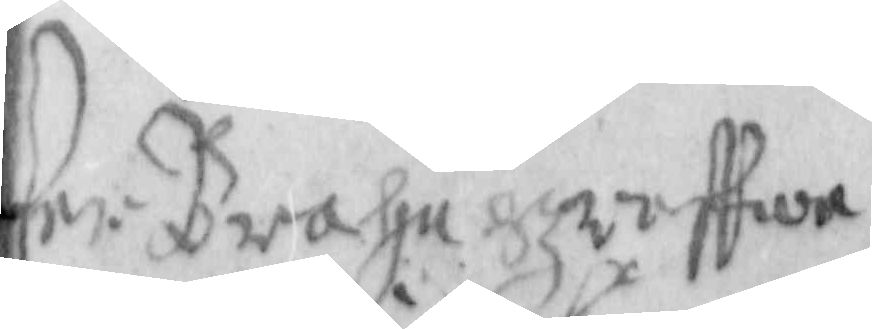Per Brahe Greffwe
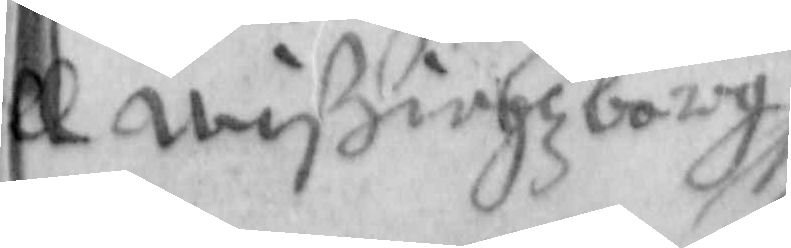ll Wißingzborg
